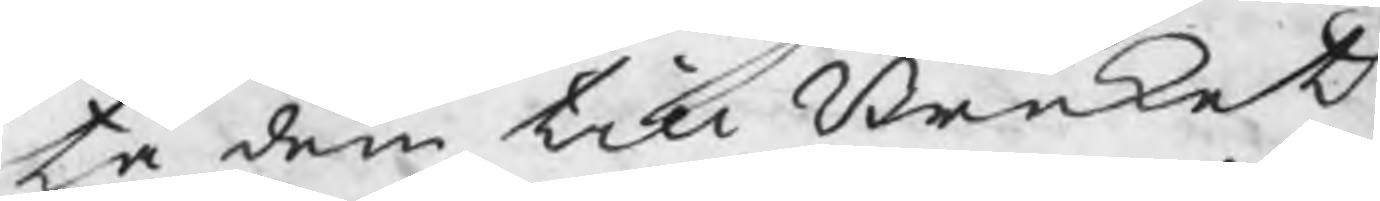ta dem till Bruket
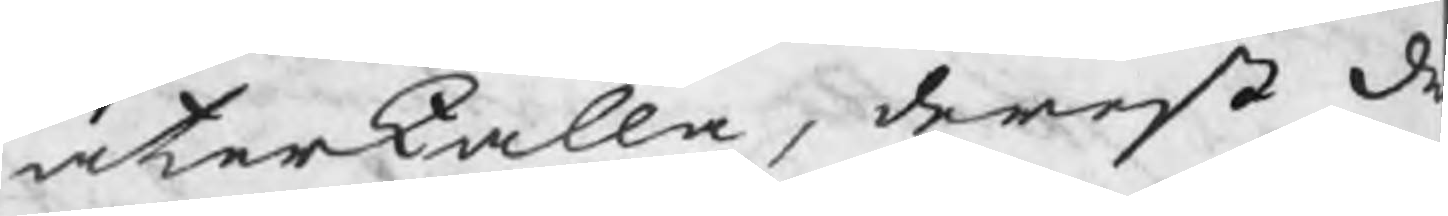återkalla, derest de
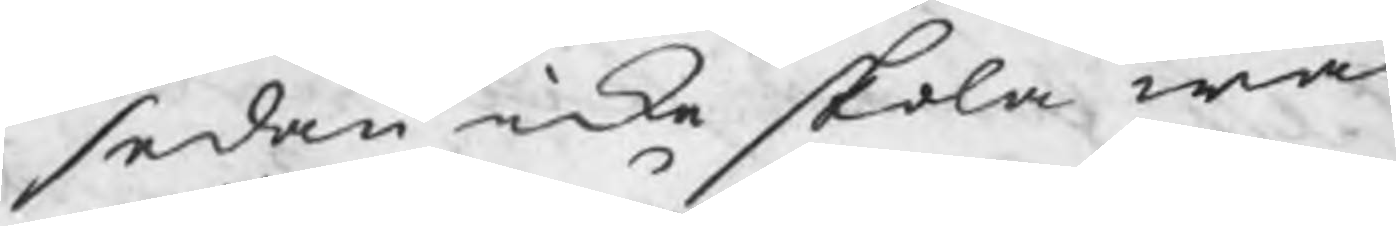sedan icke skola wår
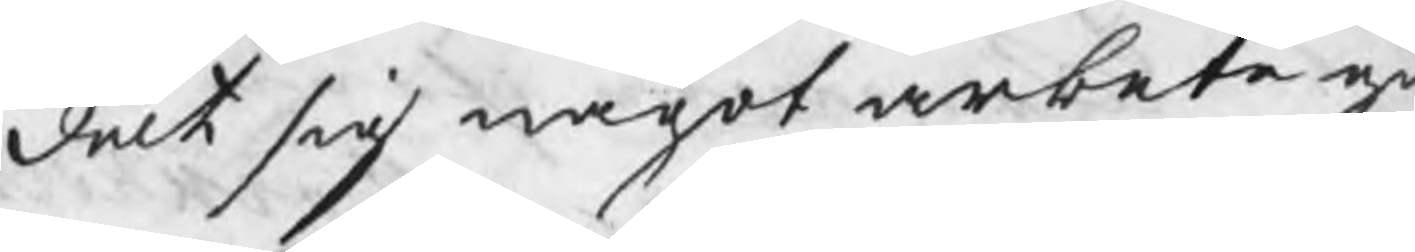delt sig något arbete gi
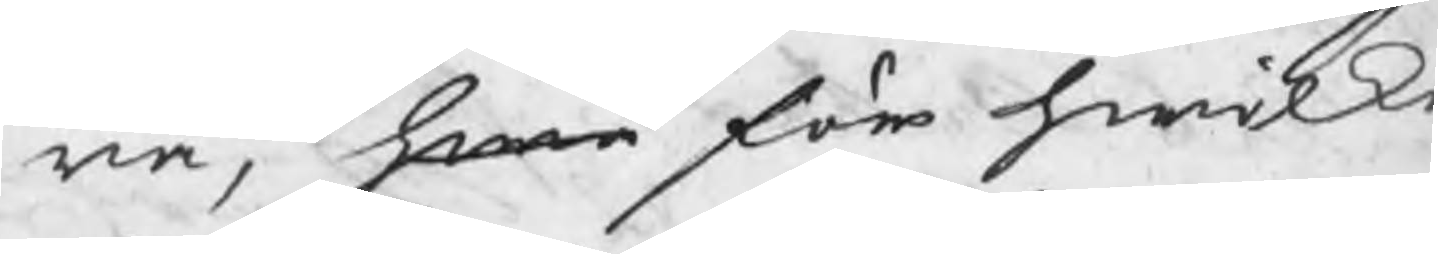ra, hwa för hwilke
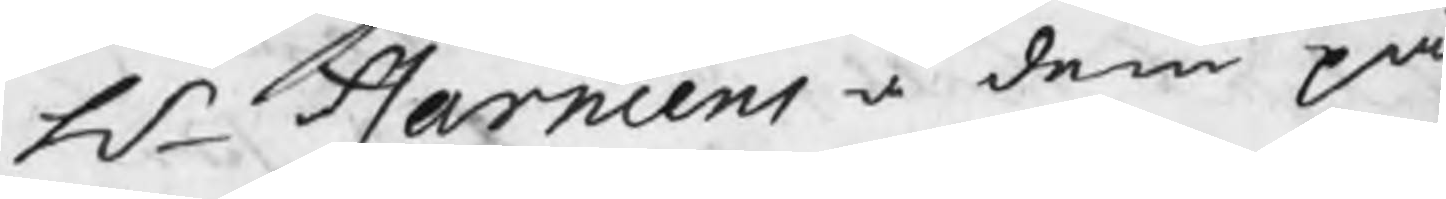Hr Harmens å dem på
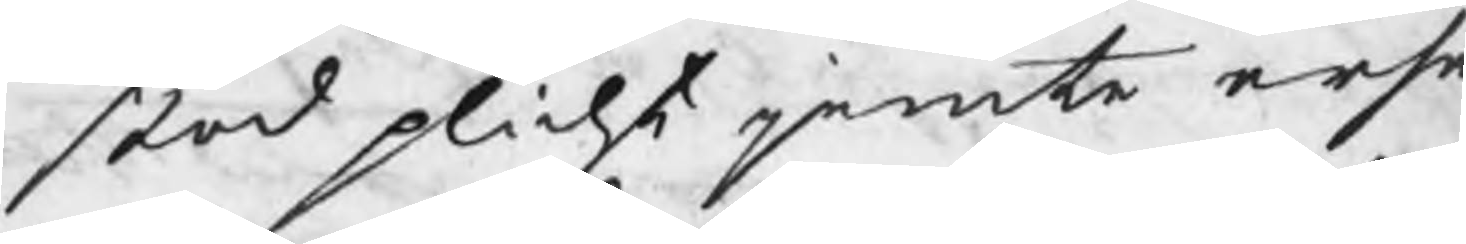stod plicht jemte ersä
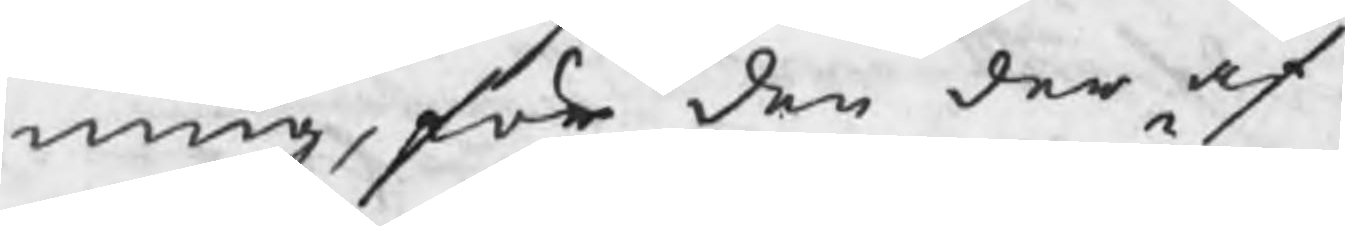ning, för den der af
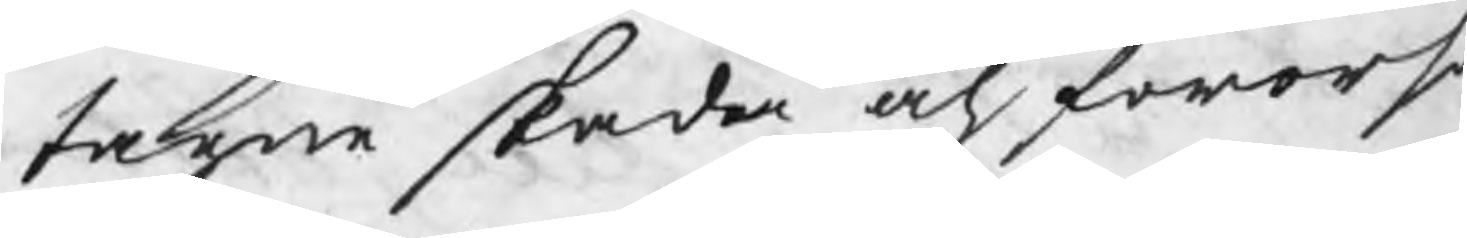tagne skada och förors
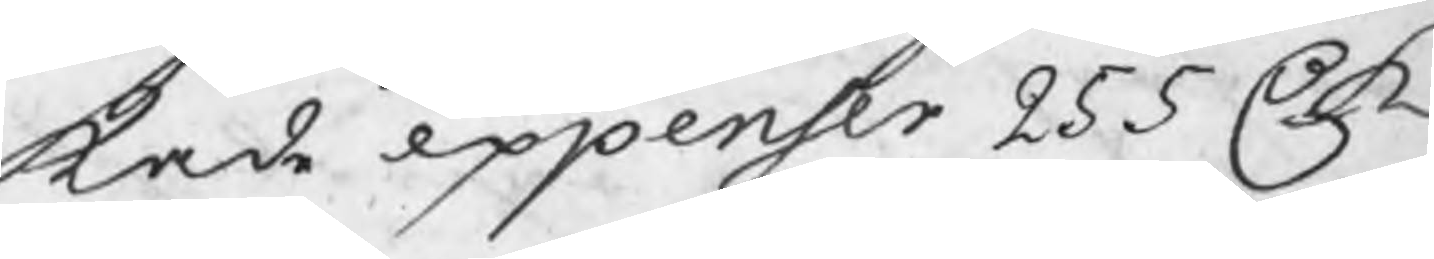kade expenser 255 C. K
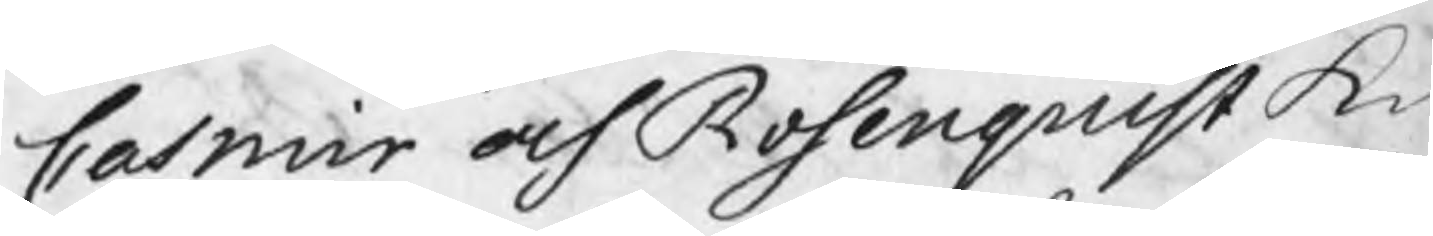Casmir och Rosenquist ku
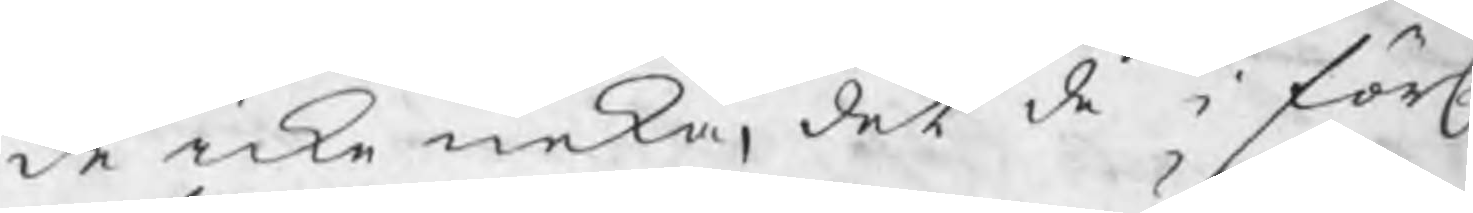de icke neka, det de i förl.
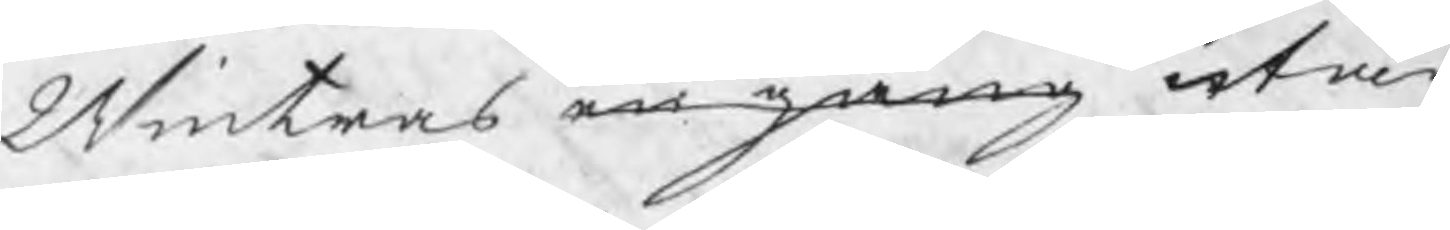Winters en gang utan
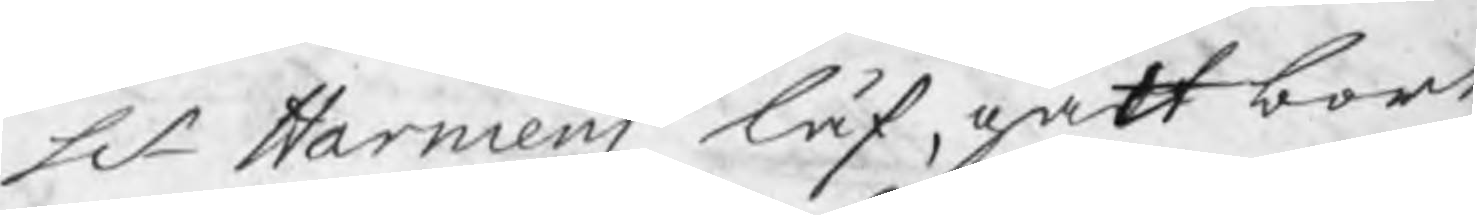Hr Harmens låf, gått bort
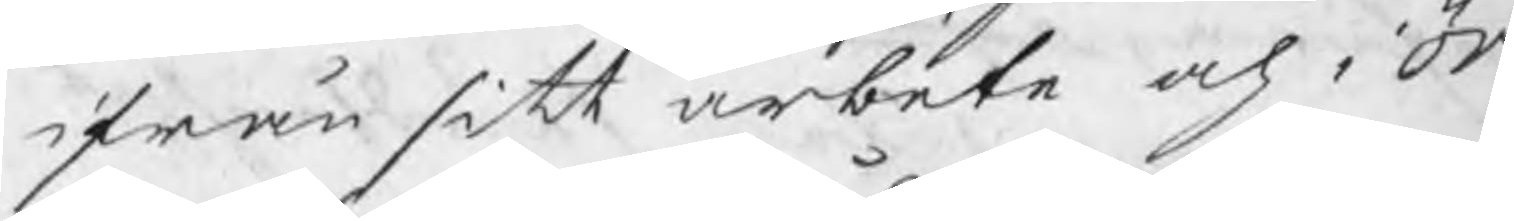ifrån sitt arbete och i Öre¬
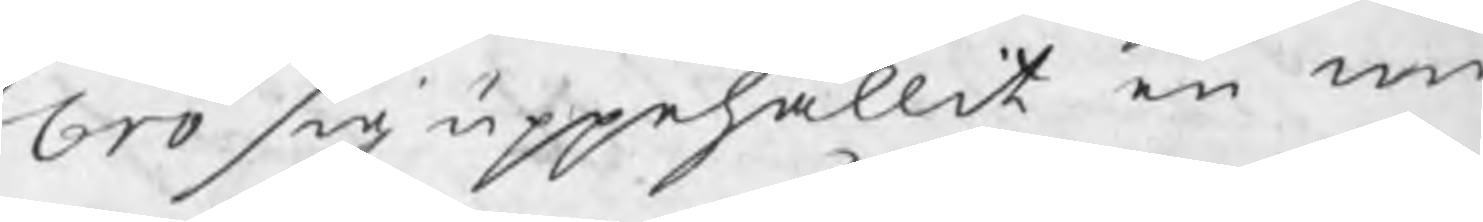bro sig uppehållit en m
